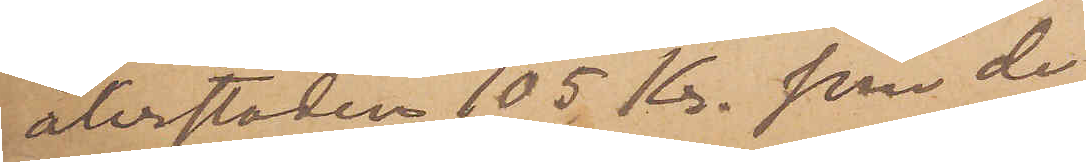återstoden 105 Kr. som de
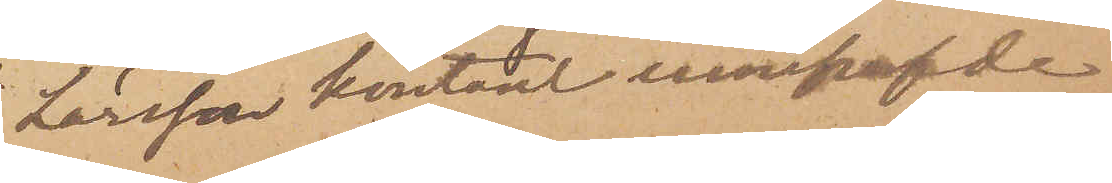Larsson kontant innehafvde
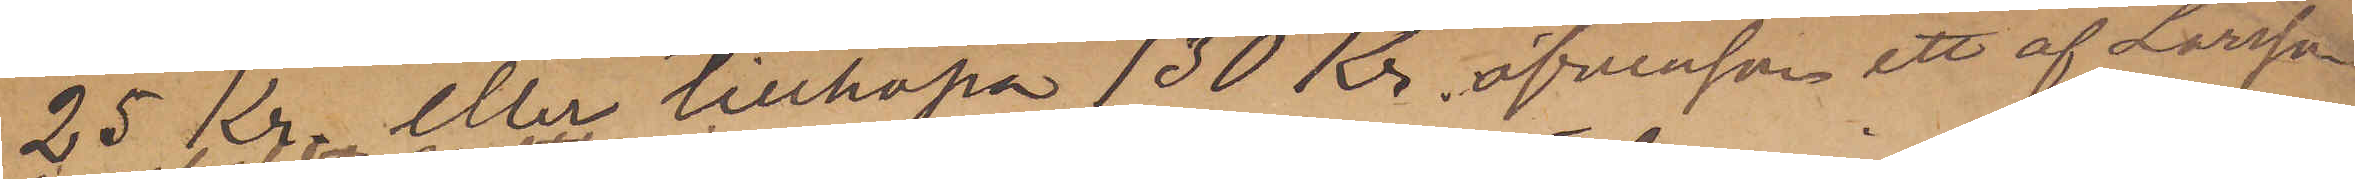25 Kr. eller tillhopa 130 Kr, äfvensom ett af Larsson
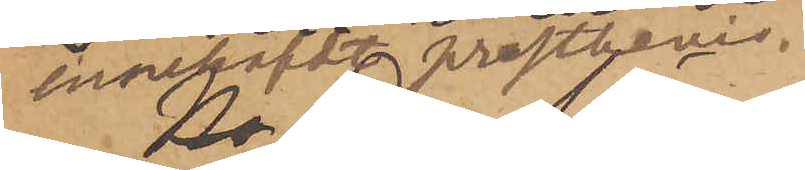innehafdt prestbevis.
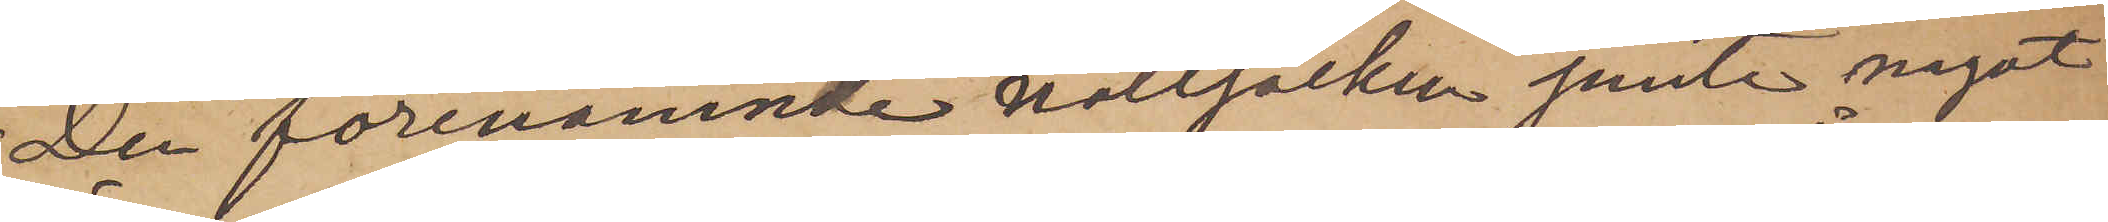Der förenämnde nattsäcken jemte något
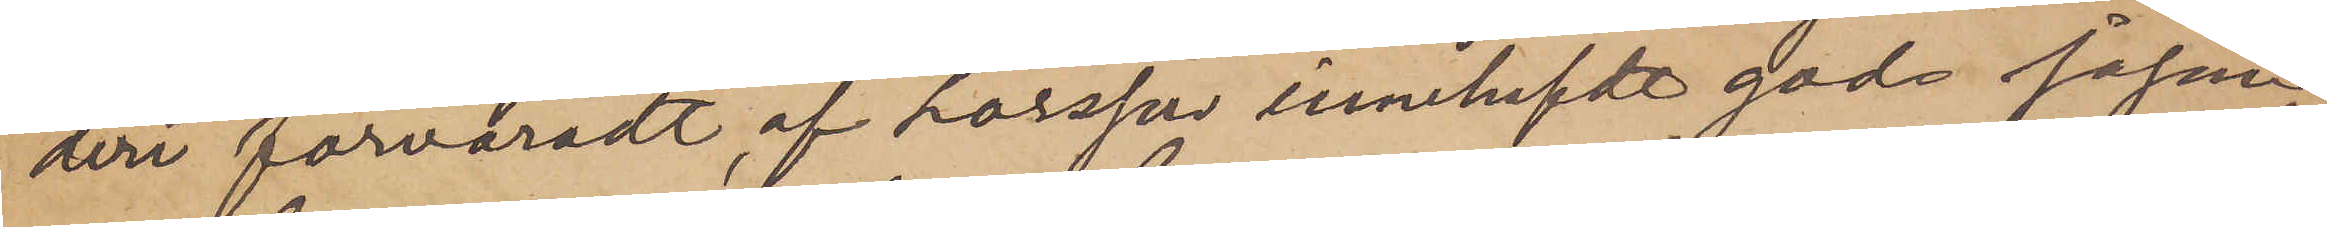deri förvaradt, af Larsson innehafdt gods såsom
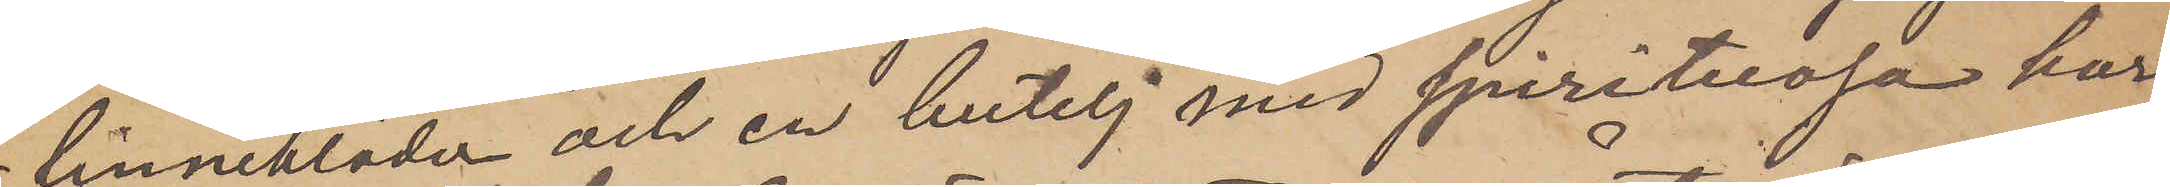linnekläder och en butelj med spirituosa har
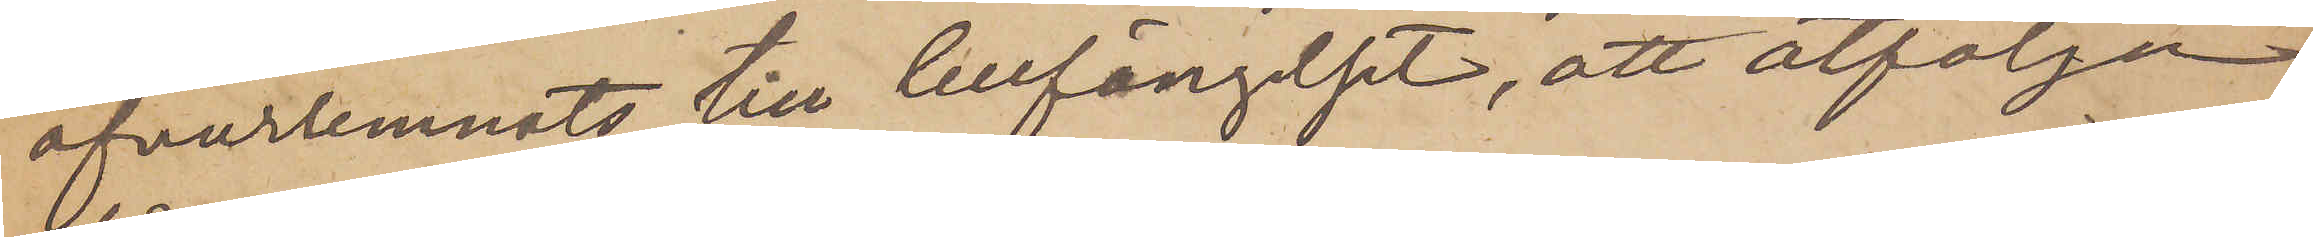öfverlemnats till Cellfängelset, att åtfölja
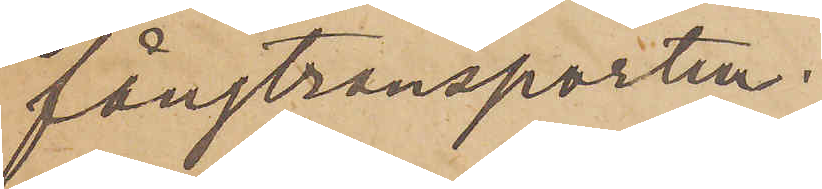fångtransporten;
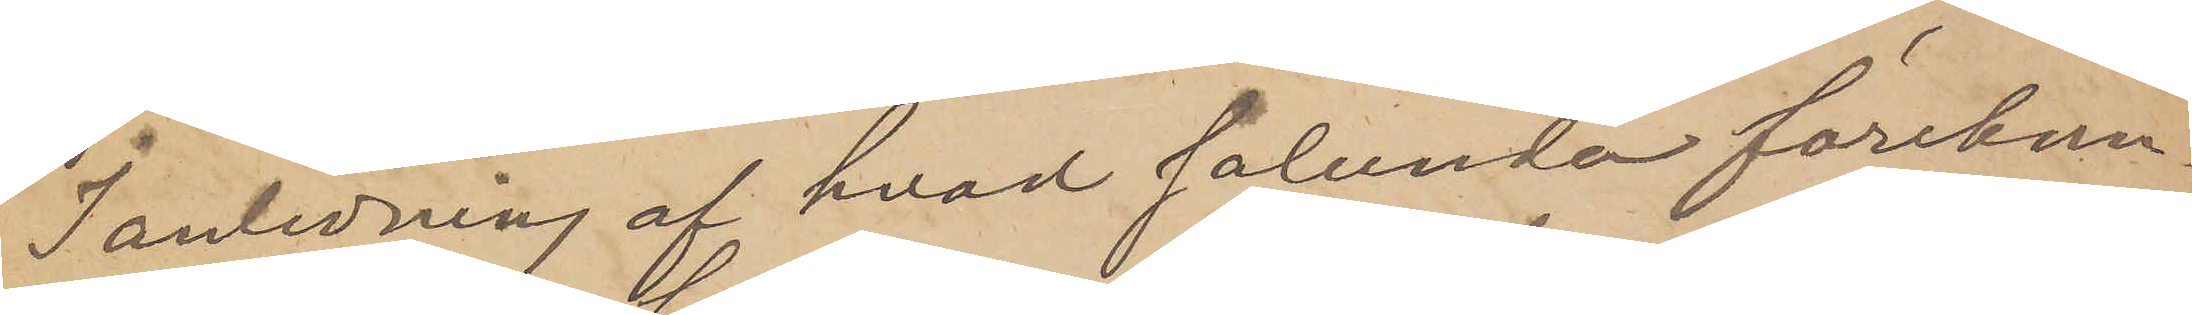I anledning af hvad sålunda förekom¬
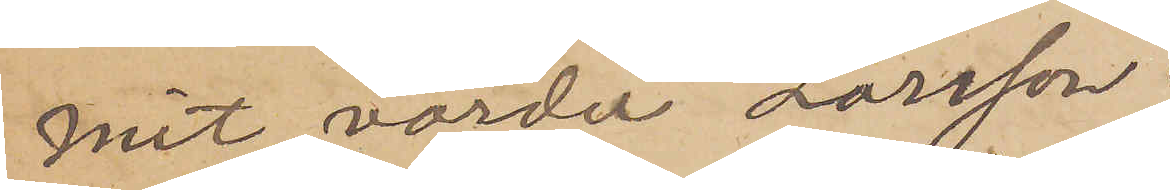mit, varder Larsson
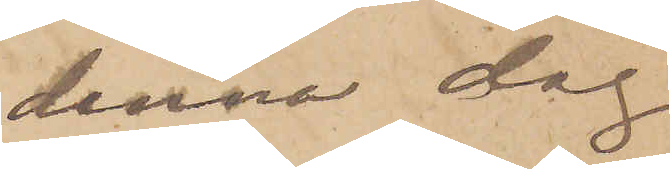denna dag.
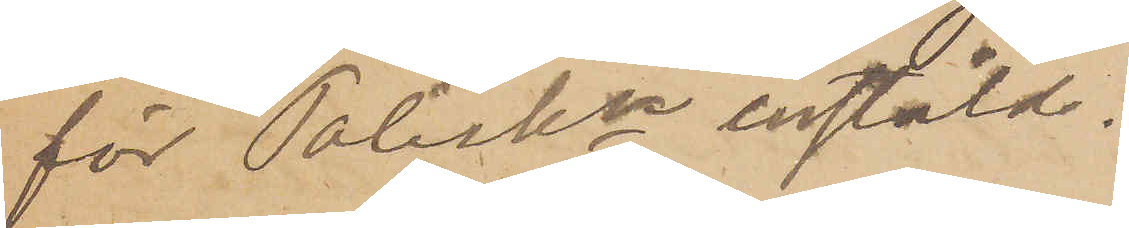för Poliskn instäld.
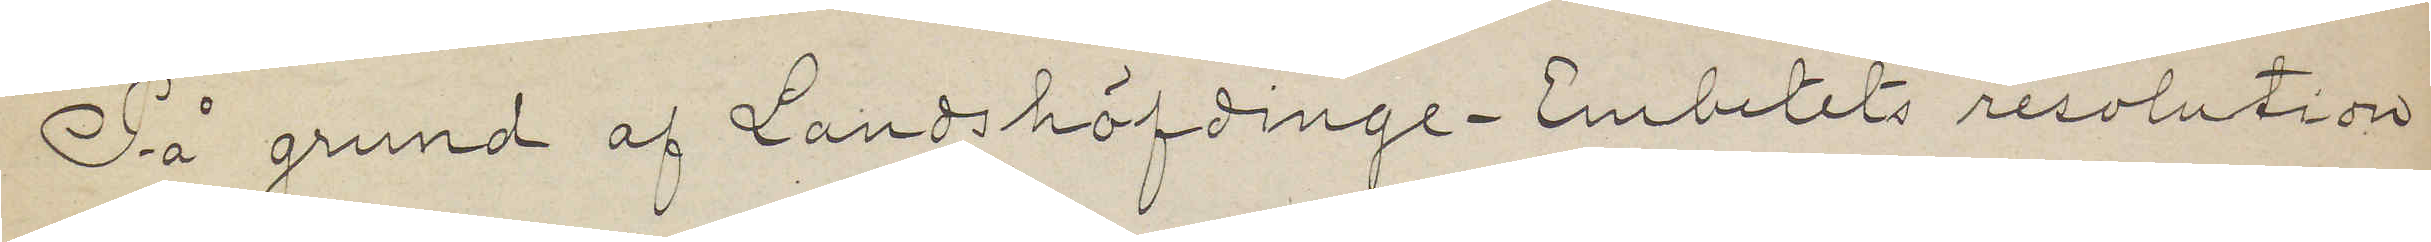På grund af Landshöfdinge¬ Embetets resolution
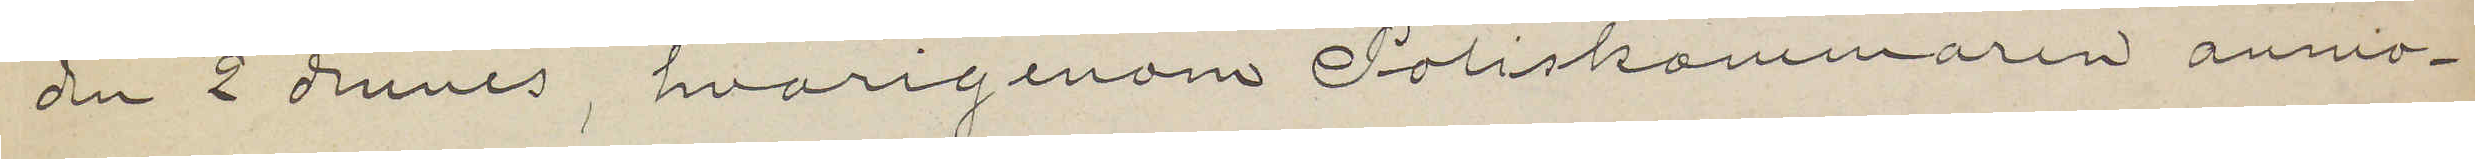den 2 dennes, hvarigenom Poliskammaren anmo¬
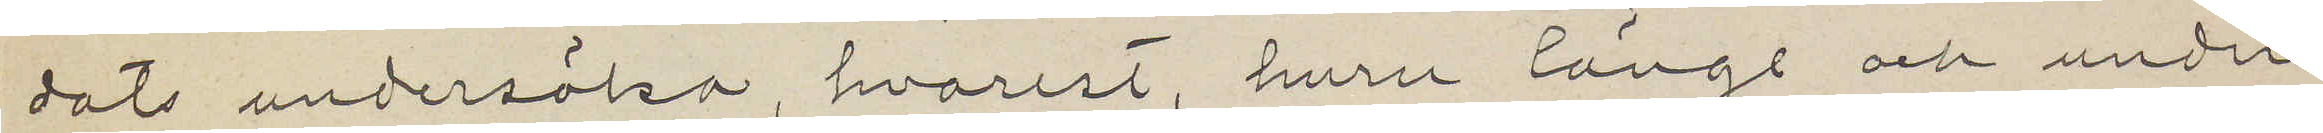dats undersöka, hvarest, huru länge och under
